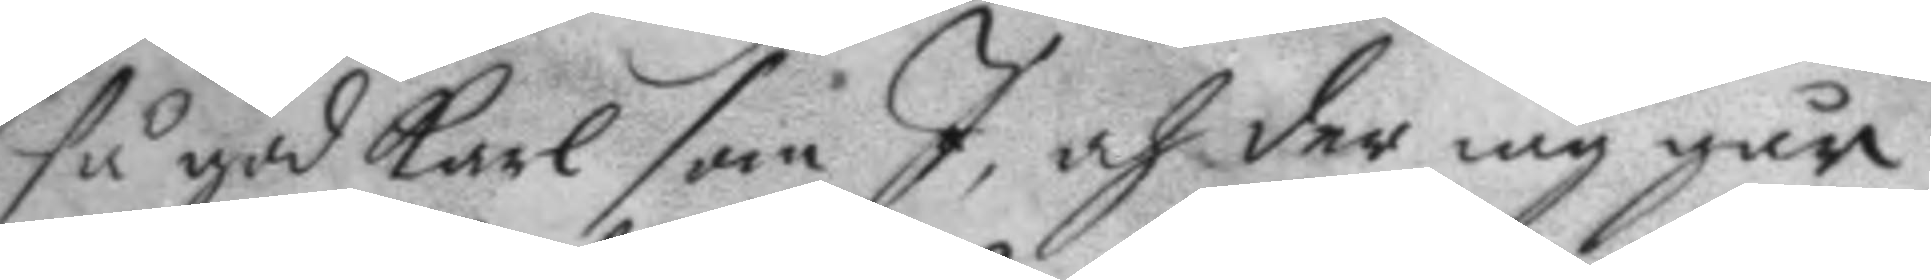så god karl som I, och der iag går
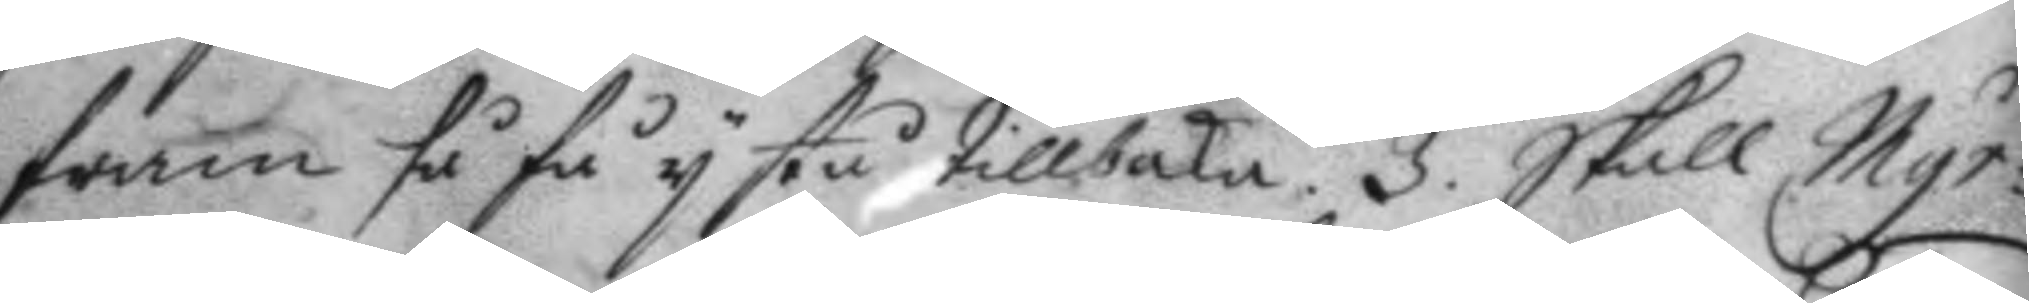fram så få y stå tillbaka. 3. Skall Myr¬
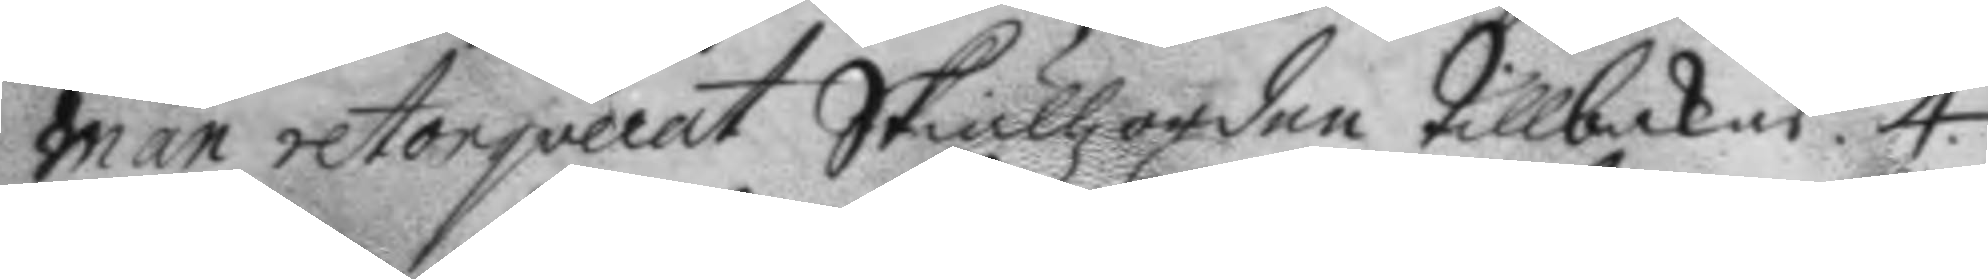man retorqverat Skiällzorden tillbakas. 4.
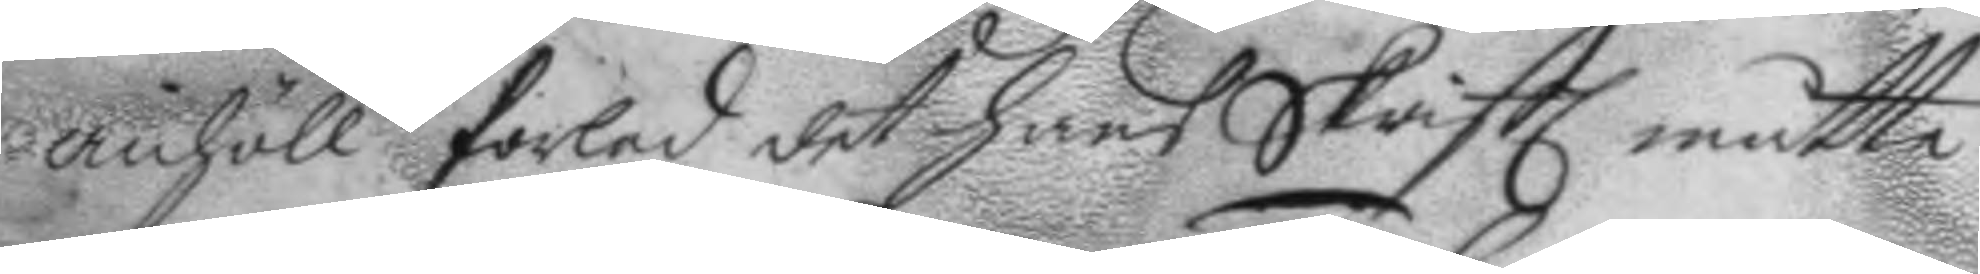anhöll forled det hans Skrift måtte
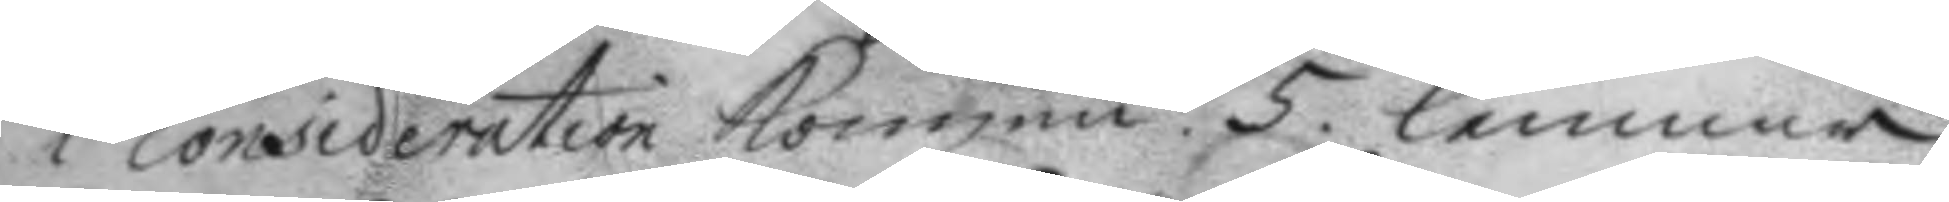i consideration kommen. 5. lemnar
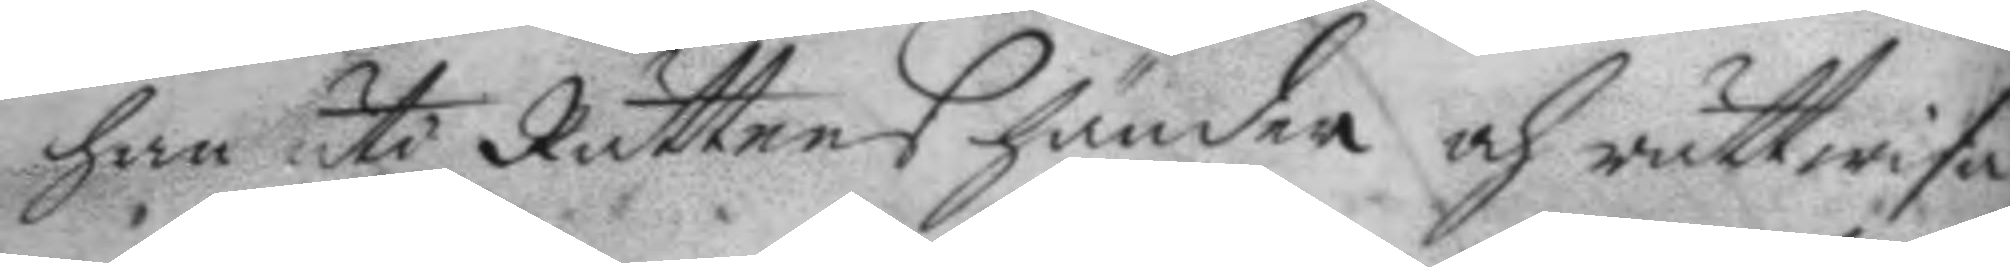han uti Rättens händer och rättwisa
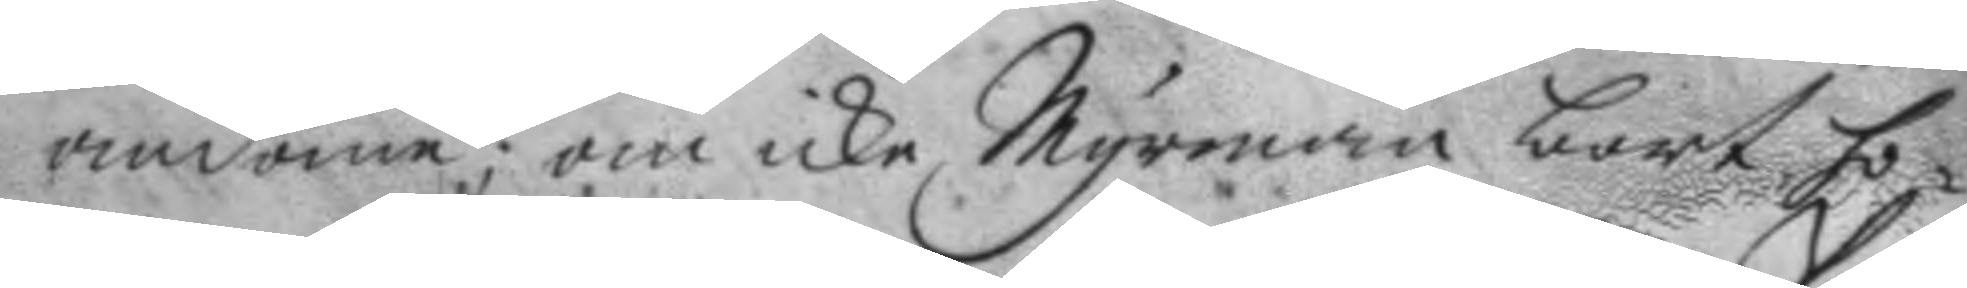omdöme; om icke Myrman bort ho¬
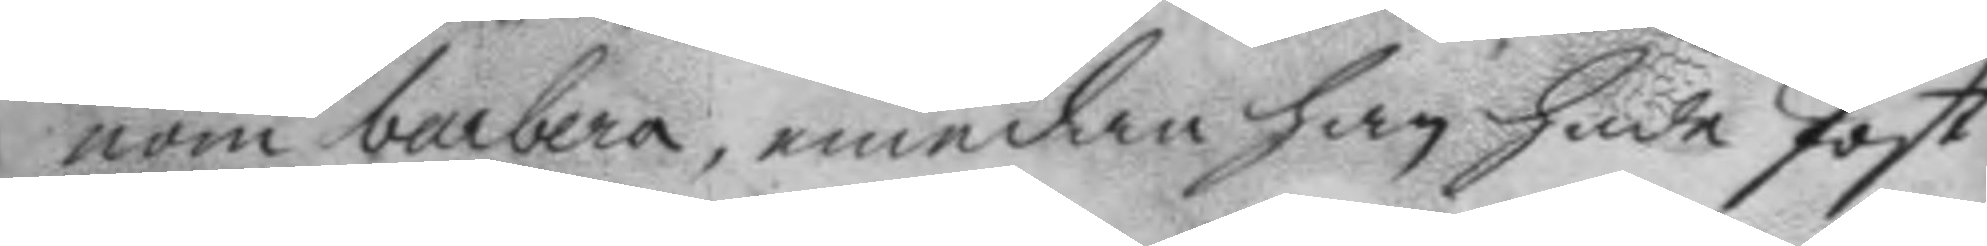nom barbera, emedan han hade Post.
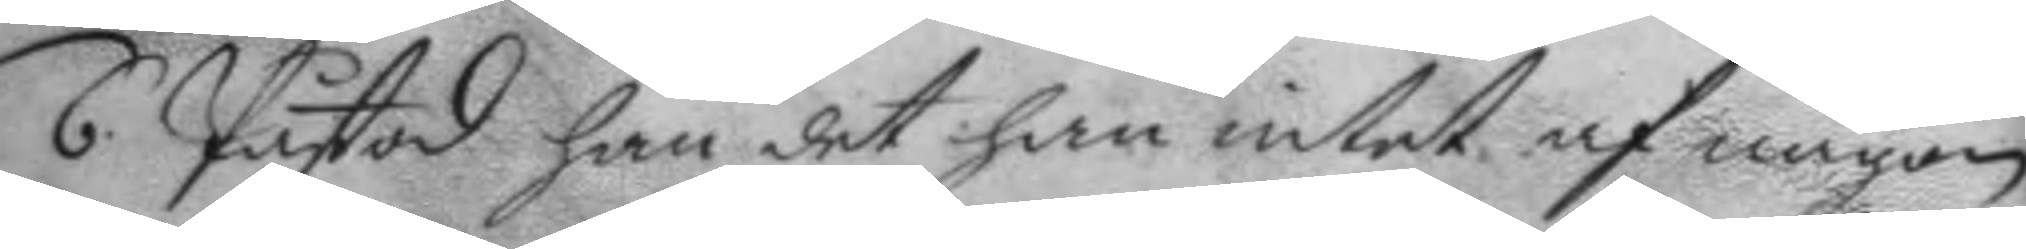6. Påstod han det han intet af någon
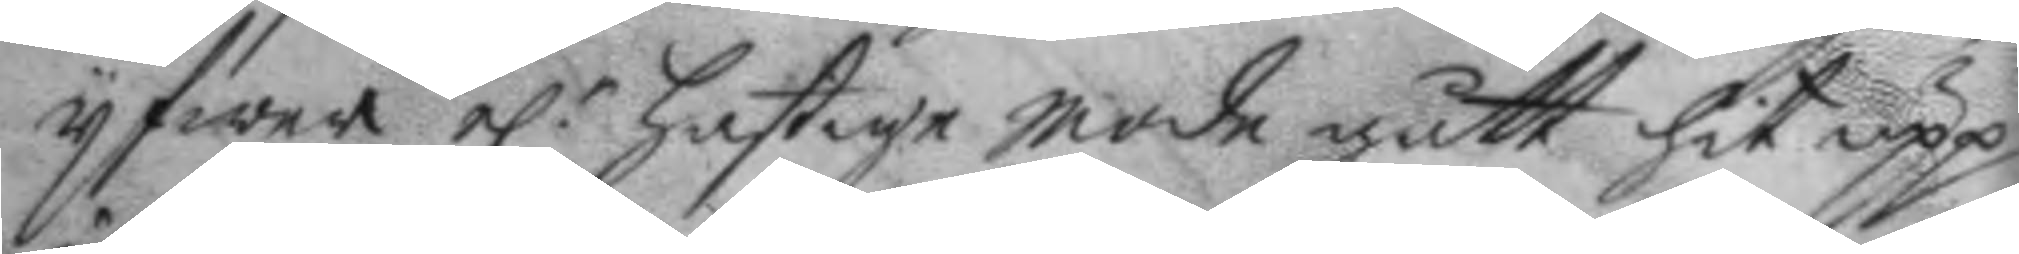yfwer el.r hastige mode gått hit upp
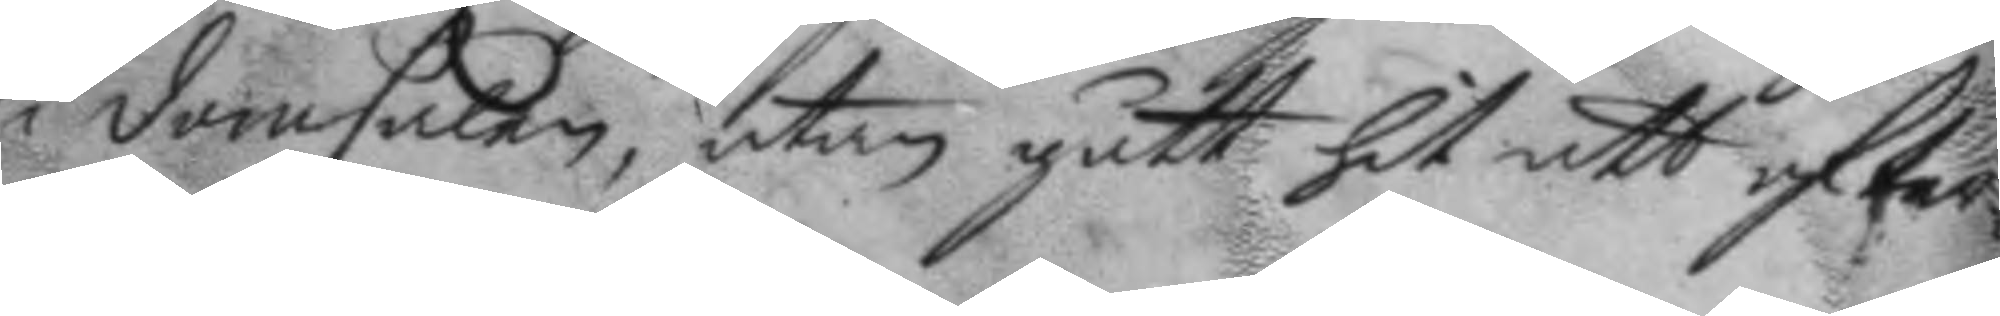i domstolen, utan gått hit att ofwer¬
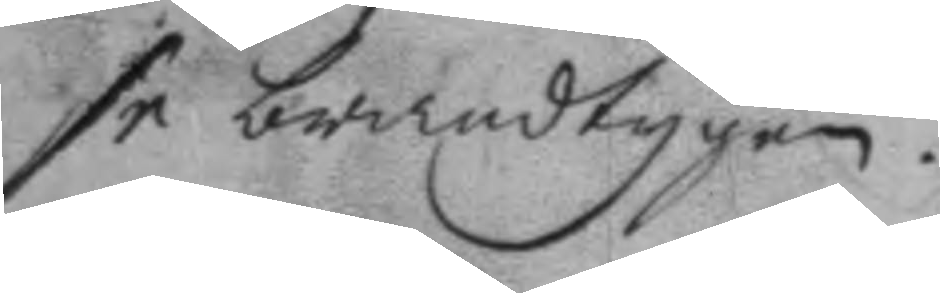se brandtygen.
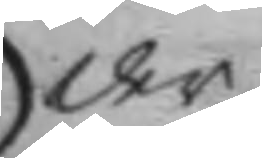der
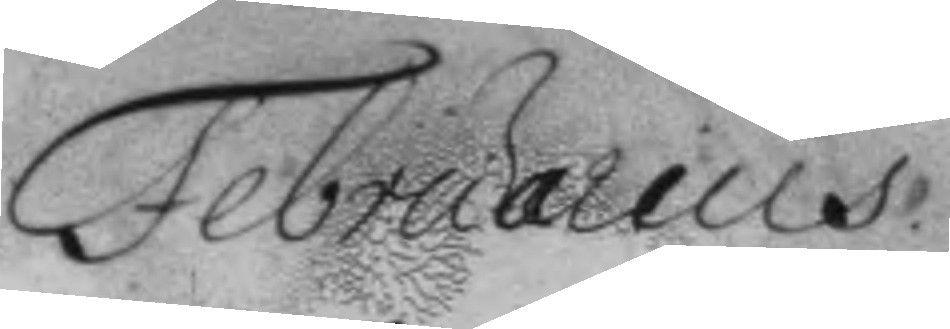Februarius
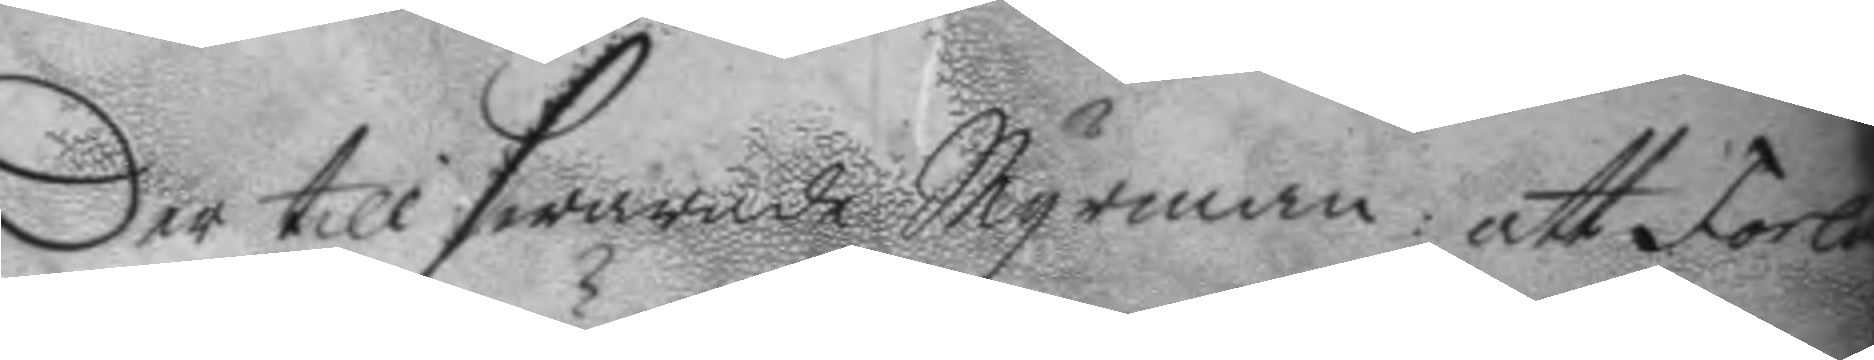Der till swarade Myrman: att Forla
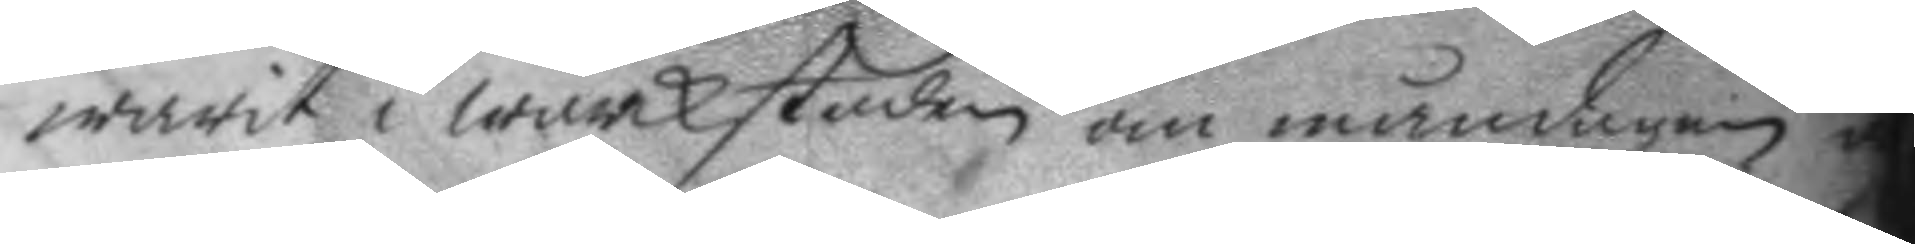warit i wärckstaden om måndagen o
